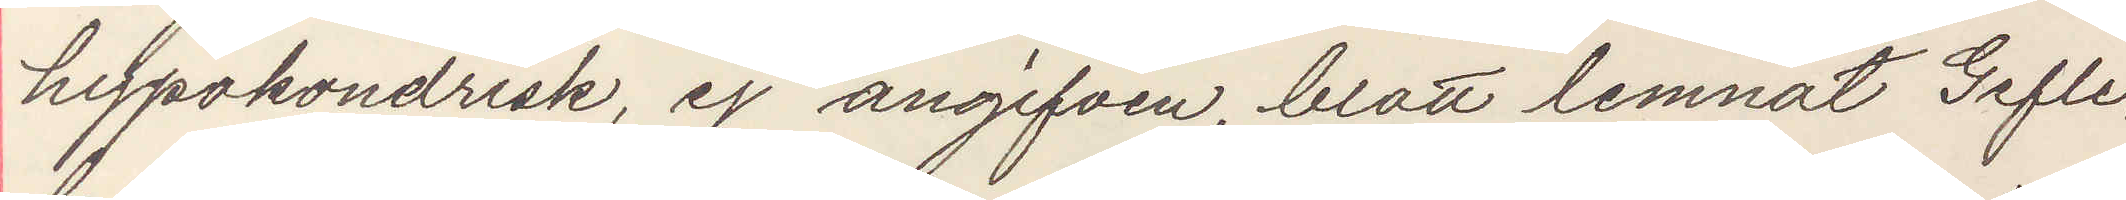hypondrisk, ej angifven, brott lamnat Gefle,
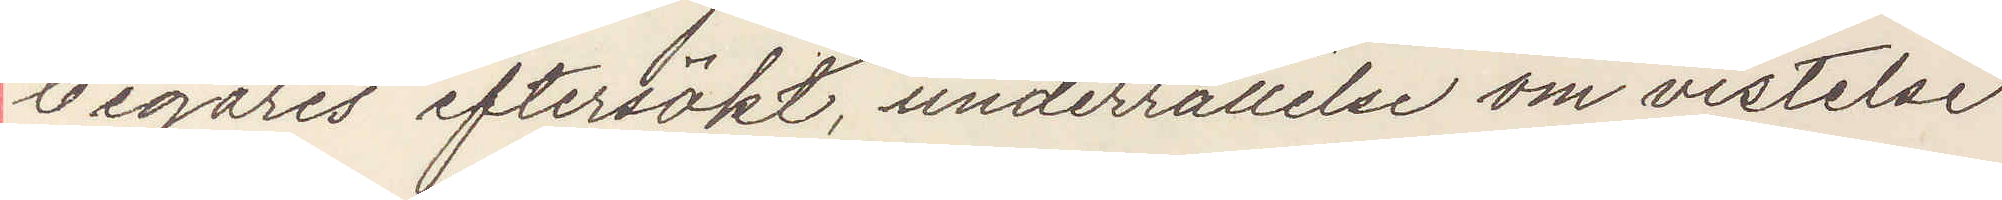begäres eftersökt, underrättelse om vistelse
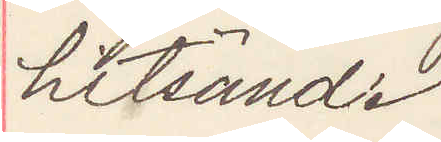hitsänd.
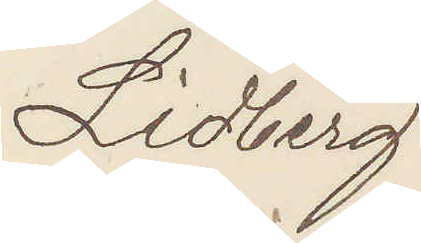LIdberg
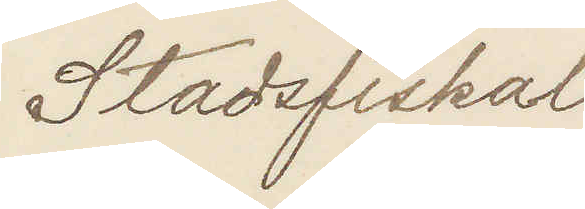Stadsfiskal.
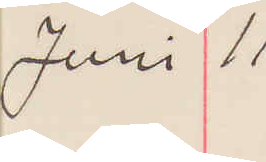Juni 11
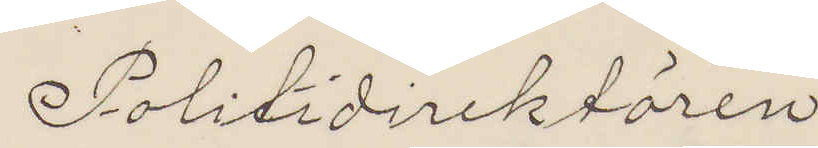Politidirektören
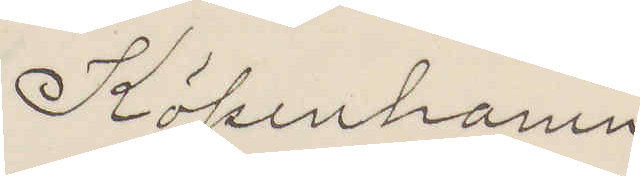Köpenhamn
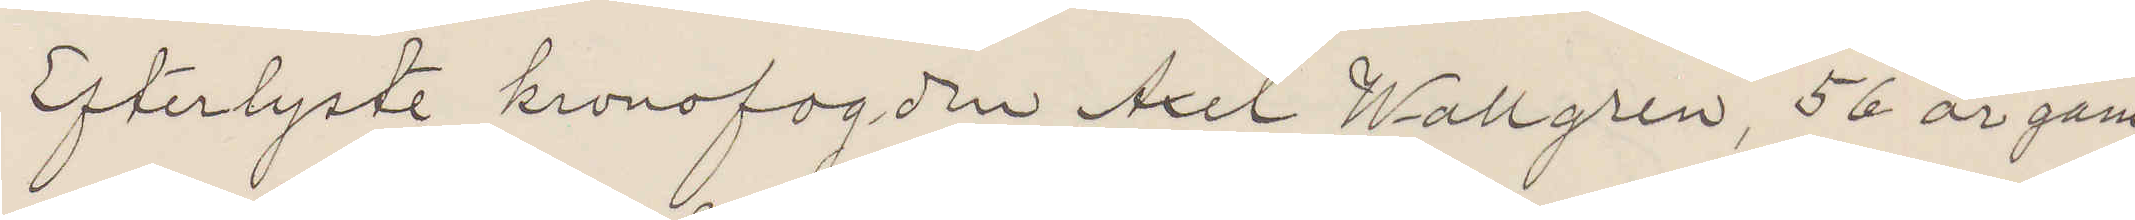Efterlyste kronofogden Axel Wallgren, 56 år gam¬
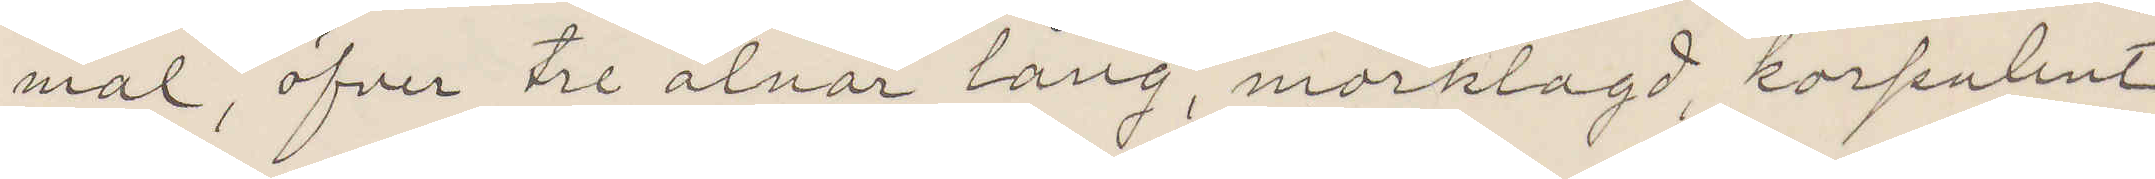mal, öfver tre alnar lång, mörklagd korpulent
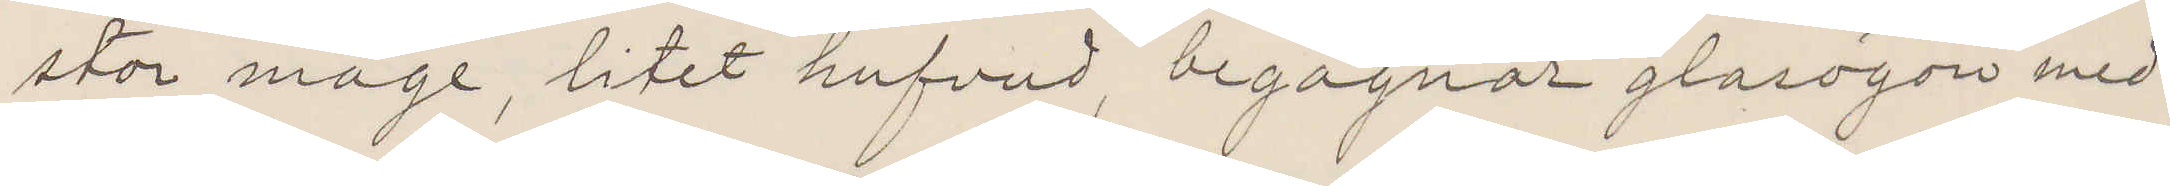stor mage, litet hufvud, begagnar glasögon med
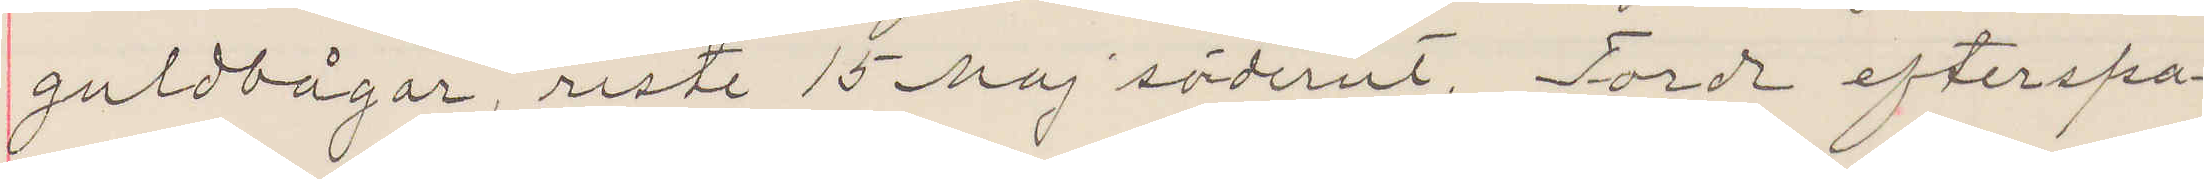guldbågar, reste 15 maj söderut. Torde efterspa¬
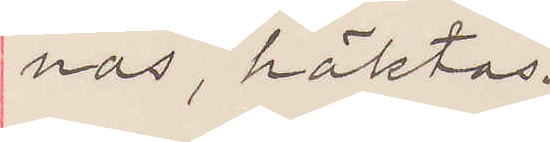nas, häktas.
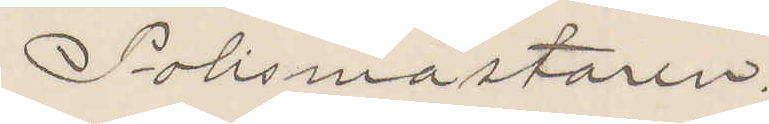Polismästaren
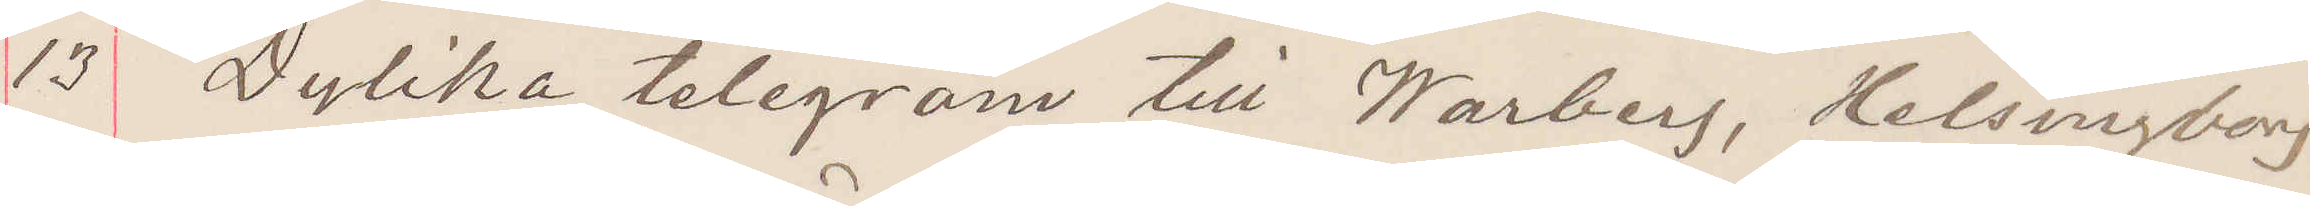13 Dylika telegram till Warberg, Helsingborg
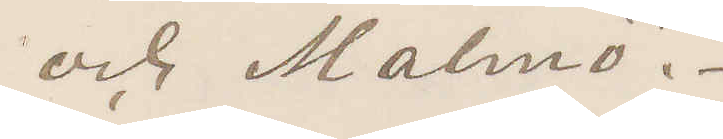och Malmö.
